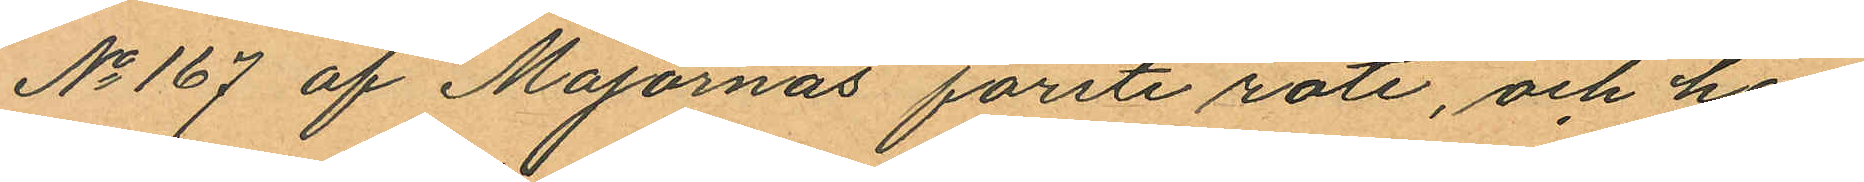No 167 af Majornas förste rote, och har
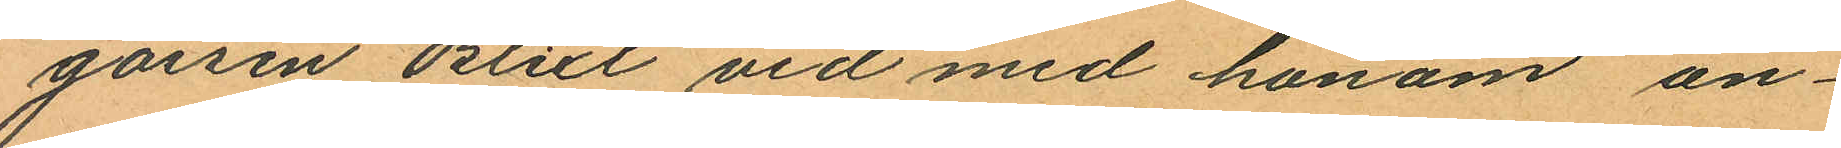gossen Blixt vid med honom an¬
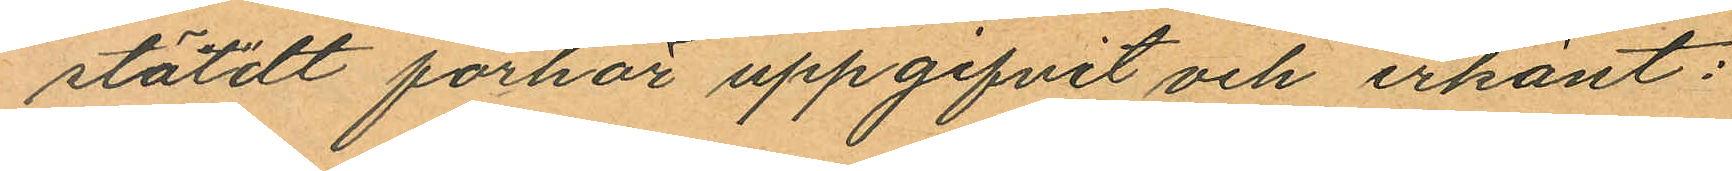stäldt förhör uppgifvit och erkänt:
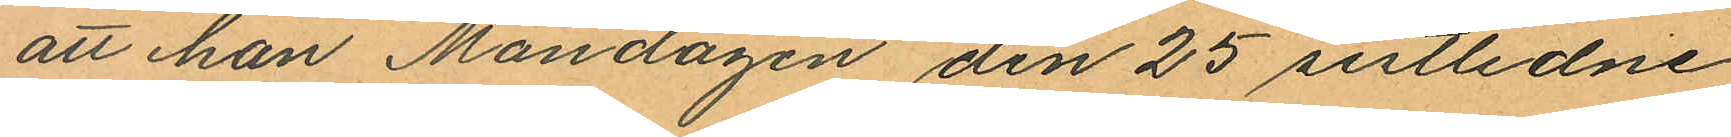att han Måndagen den 25 sistlidne
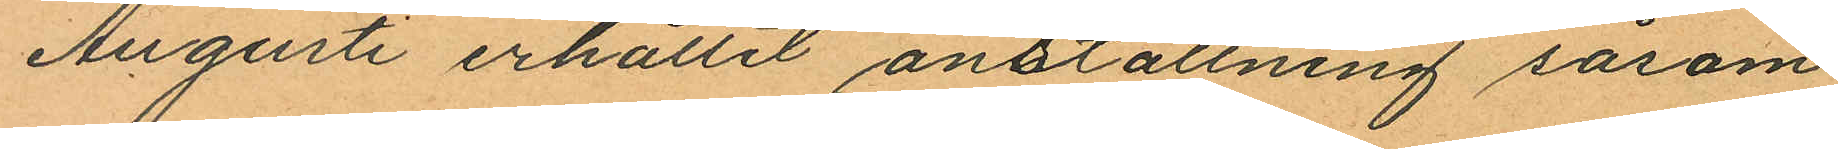Augusti erhållit anställning såsom
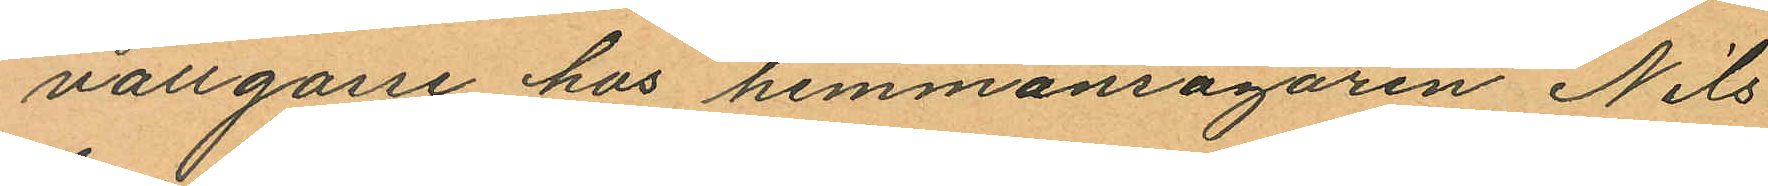vallgosse hos hemmansägaren Nils
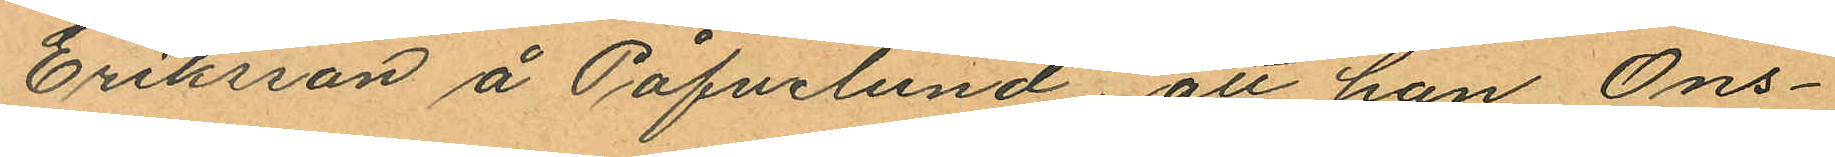Eriksson å Påfvelund att han Ons¬
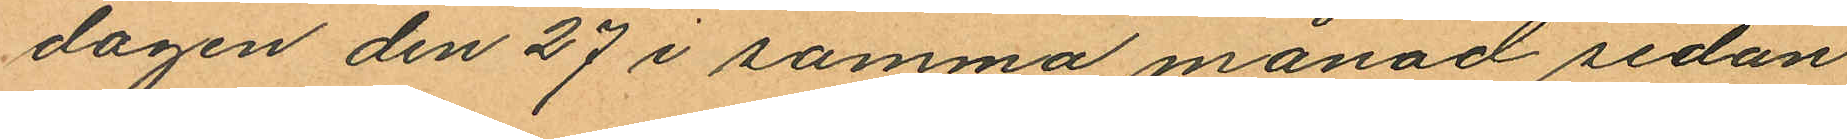dagen den 27 i samma månad sedan
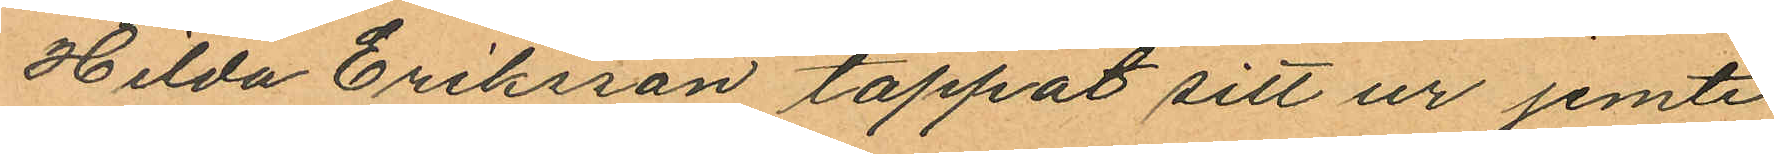Hilda Eriksson tappat sitt ur jemte
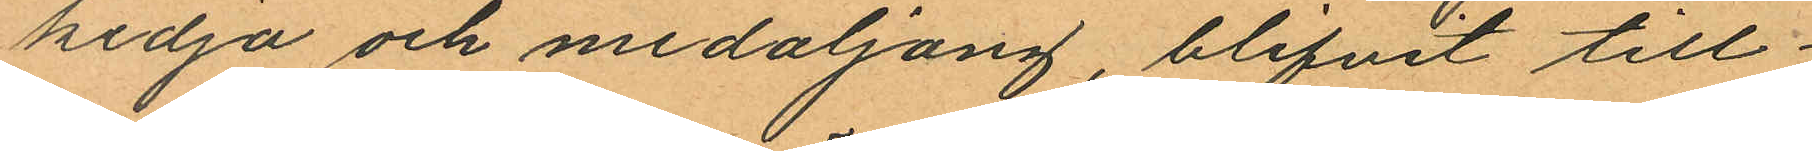kedja och medaljong, blifvit till¬
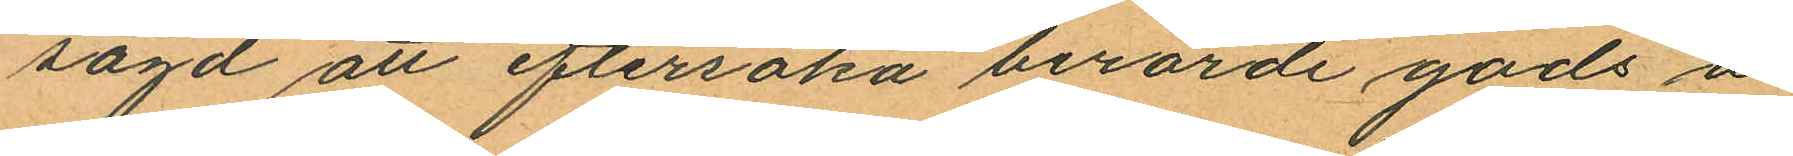sagd att eftersöka berörde gods å
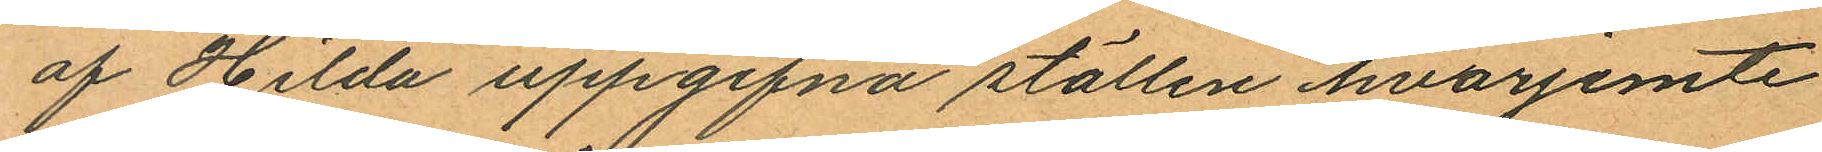af Hilda uppgifna ställen hvarjemte
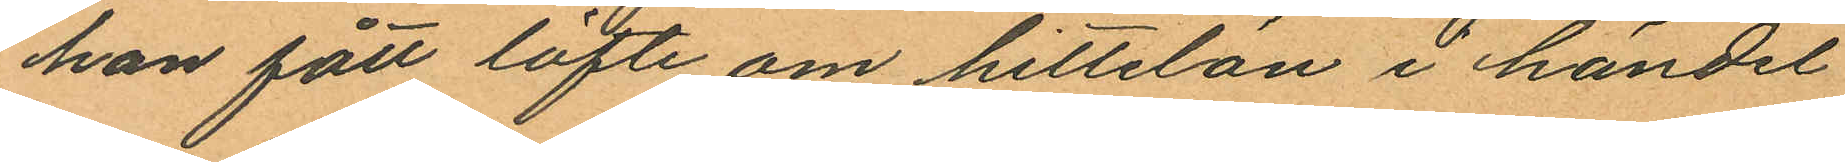han fått löfte om hittelan i händel
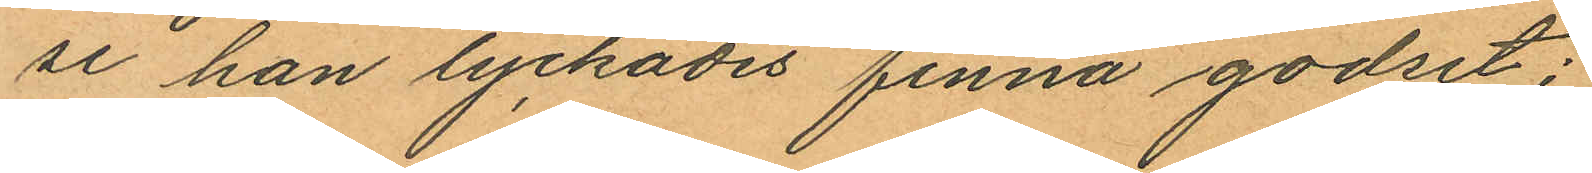se han lyckades finna godset;
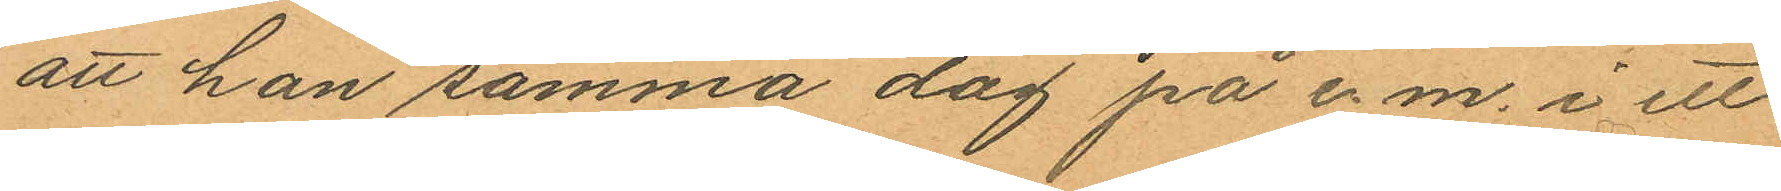att han samma dag på e.m. i ett
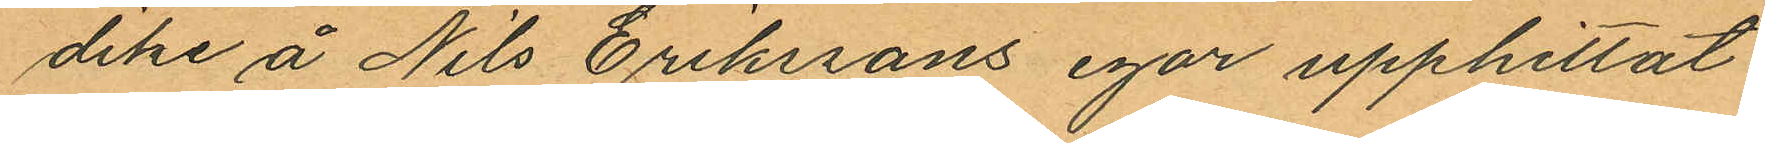dike å Nils Erikssons igår upphittat
